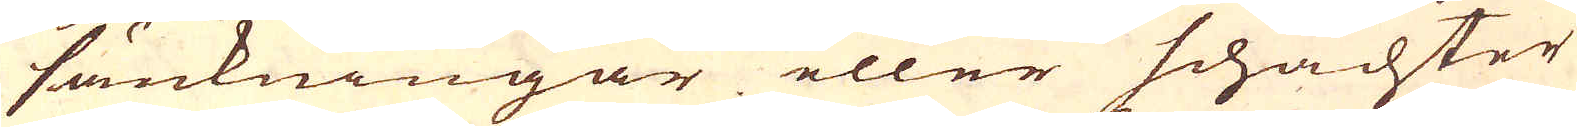sänkningar eller schachter
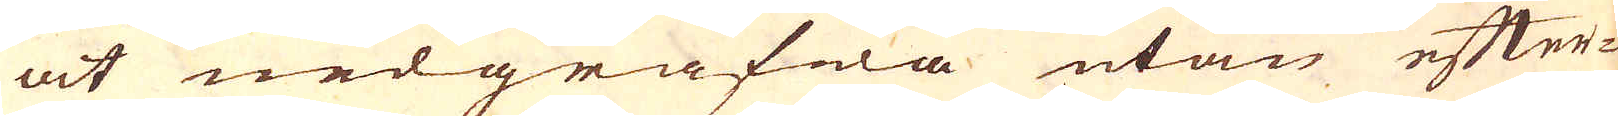at nedgräfwa utan efter-
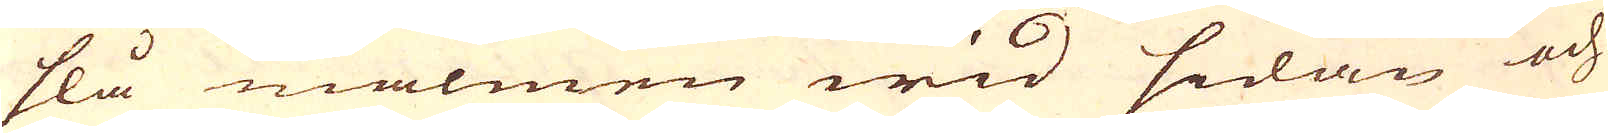slå malmen wid sidan och
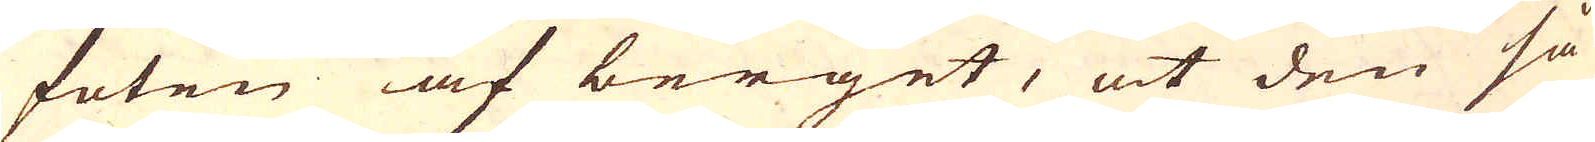foten af berget, at den så
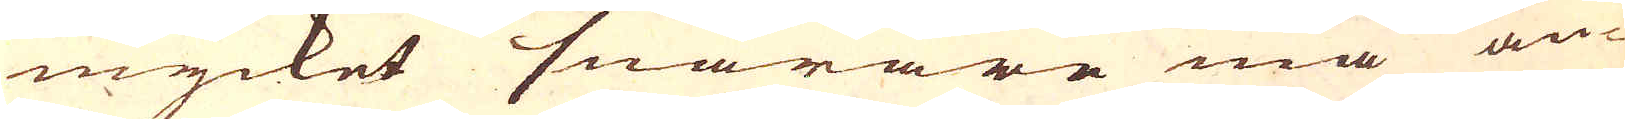mycket snarare må an-
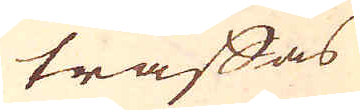träffas
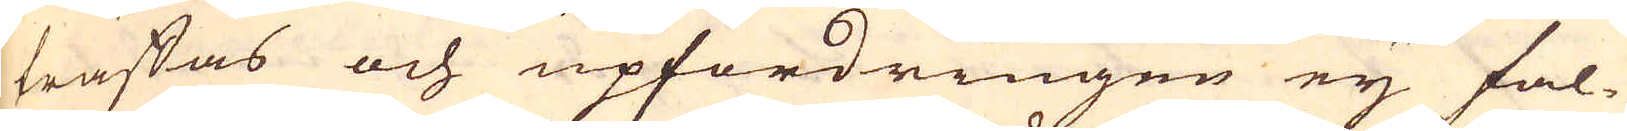träffas och upfordringen eij fal-
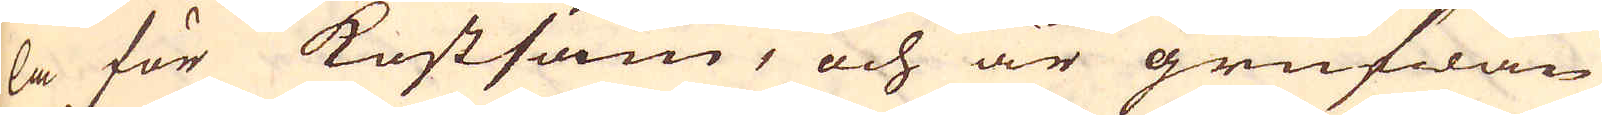la för kostsam, och är grufwan
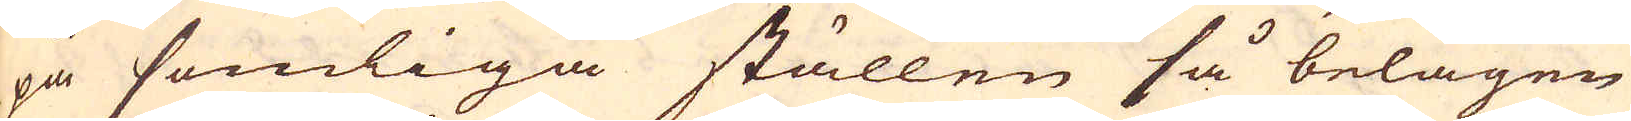på somliga ställen så belägen
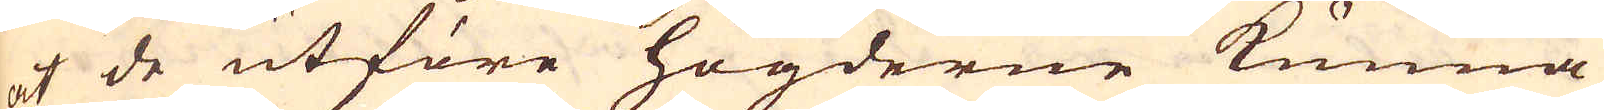at de utföre högderne kunna
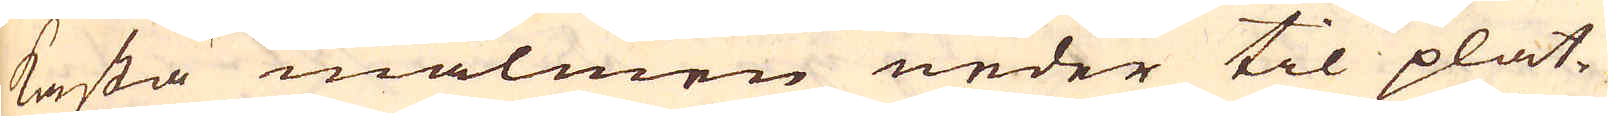kasta malmen neder til plat-
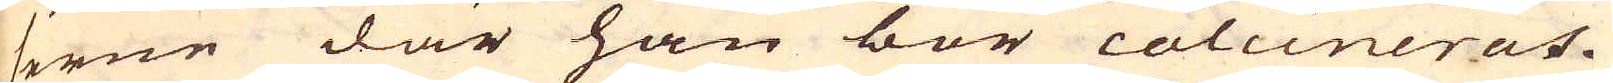serne där han bör calcineras.
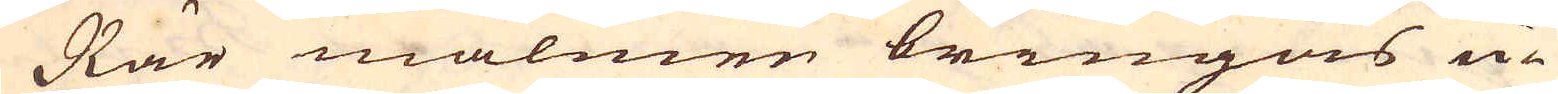När malmen bringas u-
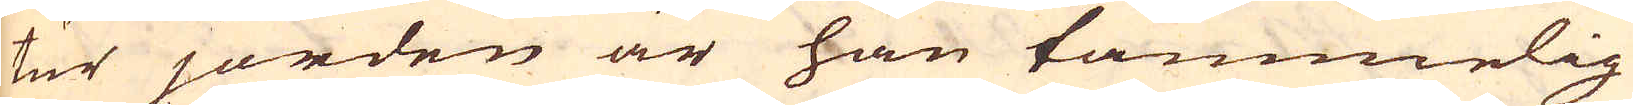tur jorden är han tämmelig
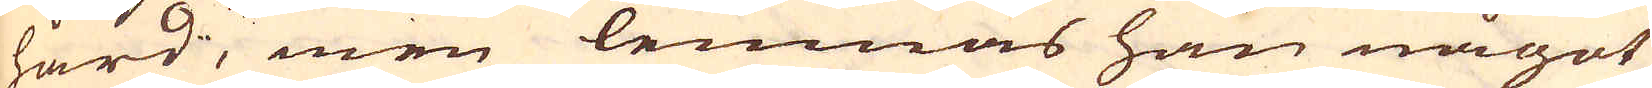hård, men lemnas han något
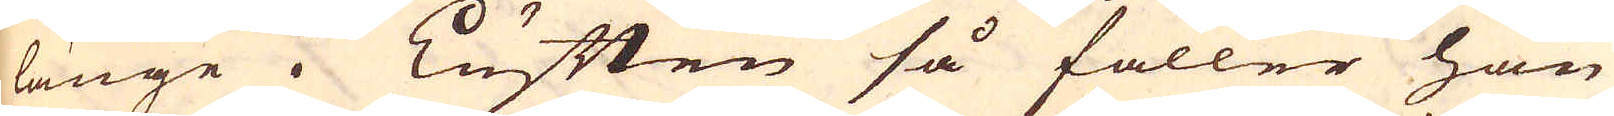länge i Luften så faller han
